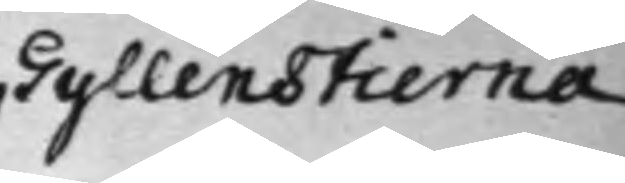Gyllenstierna
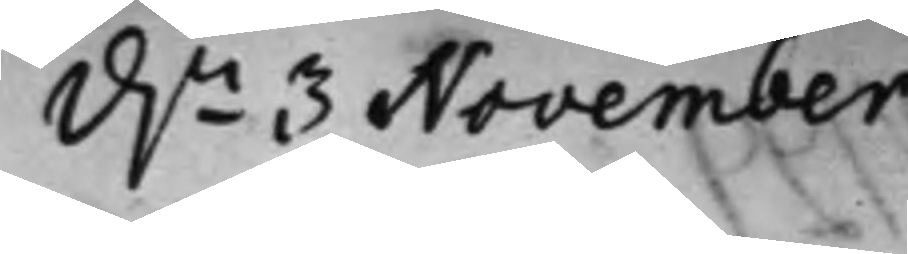d.n 3 November
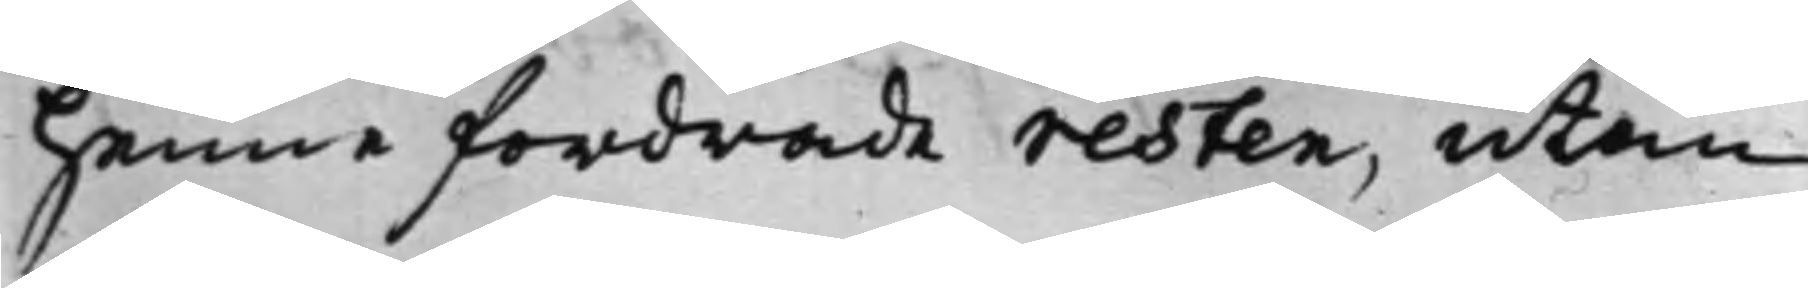henne fordrade resten, utan
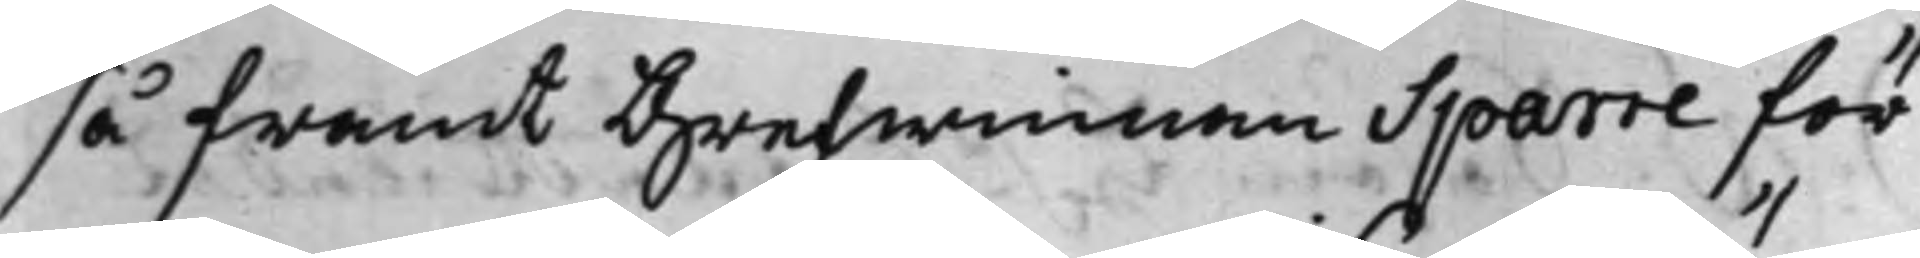så framt Grefwinnan Sparre för¬
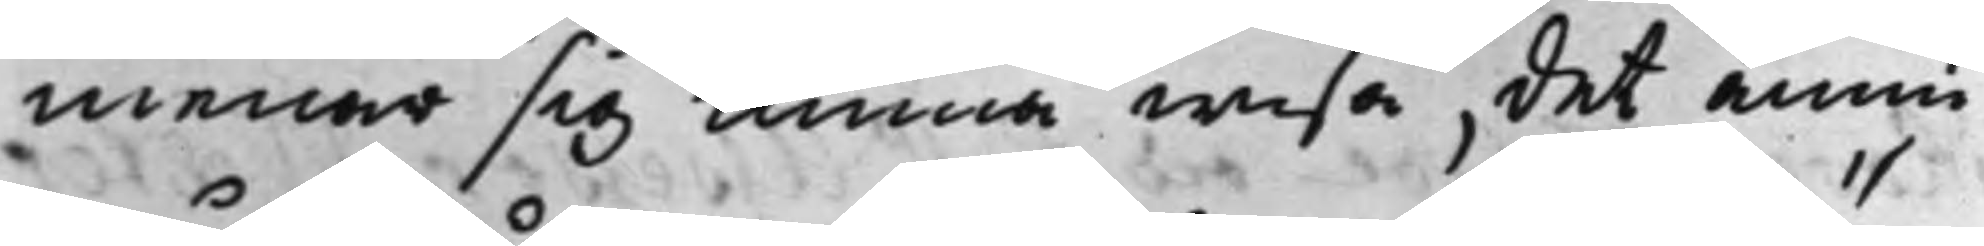menar sig kunna wisa, det ännu
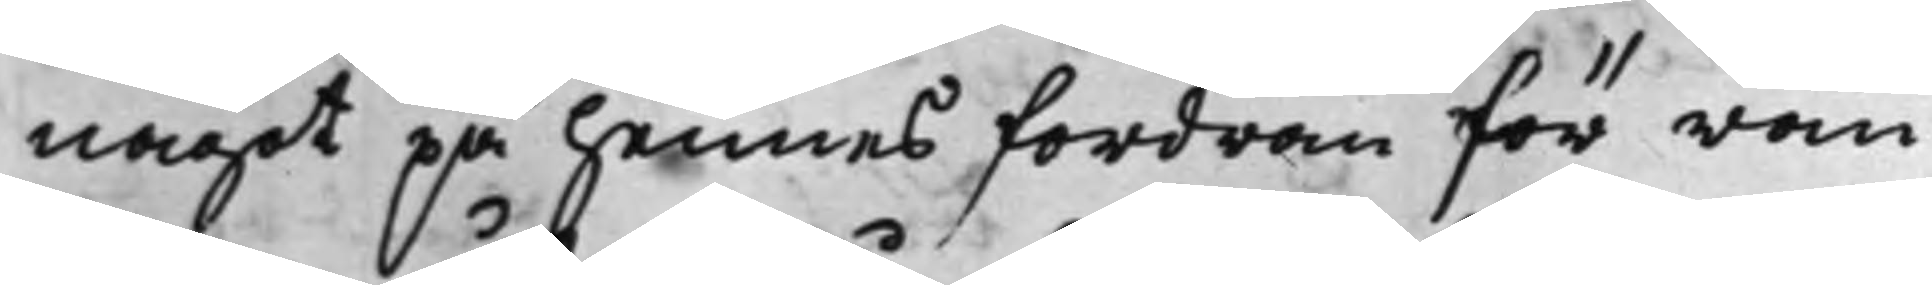något på hennes fordran för rän¬
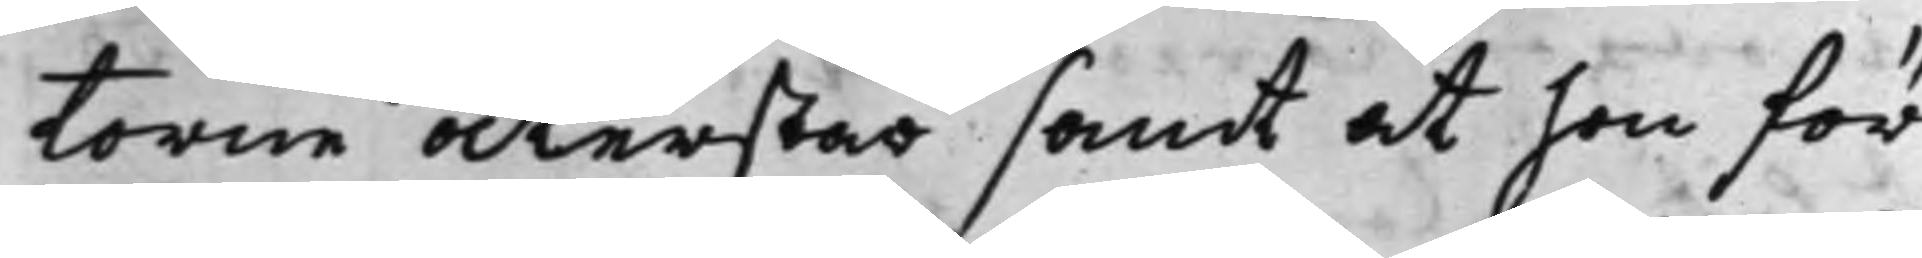torne återstår samt at hon för
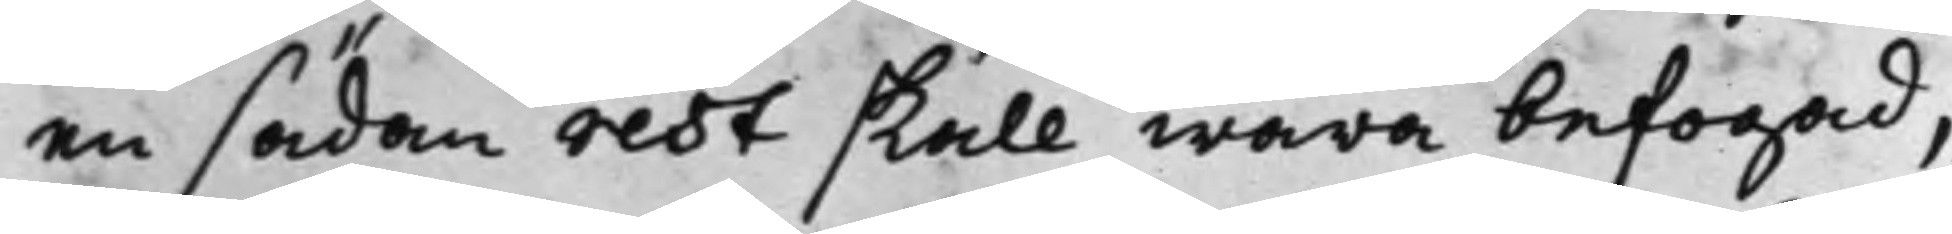en sådan rest skall wara befogad,
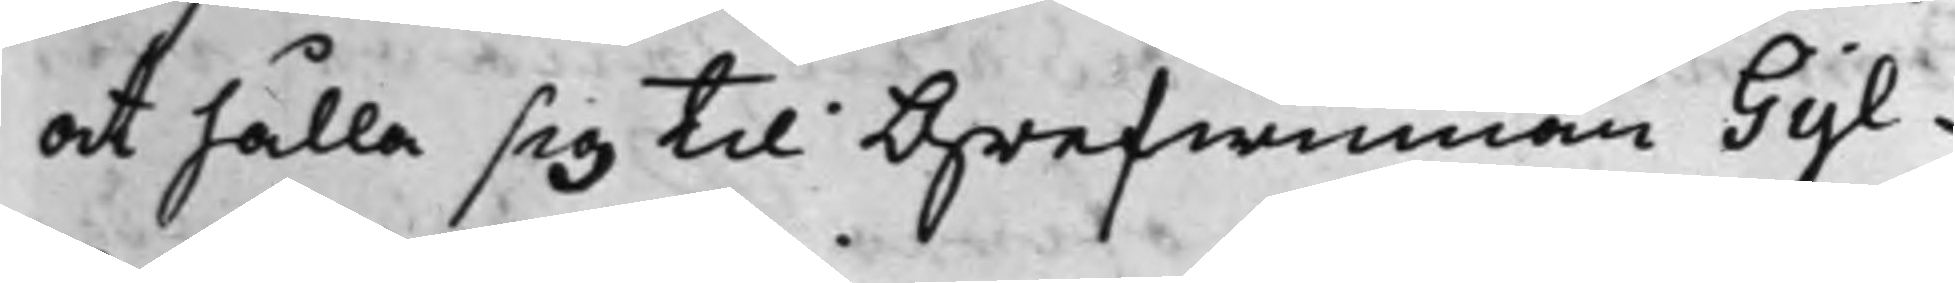at hålla sig til Grefwinnan Gyl¬
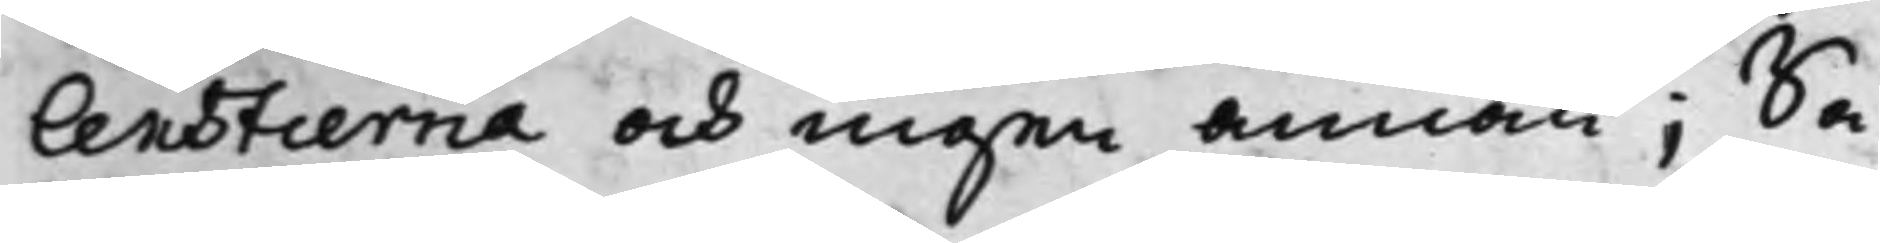lenstierna och ingen annan; Så
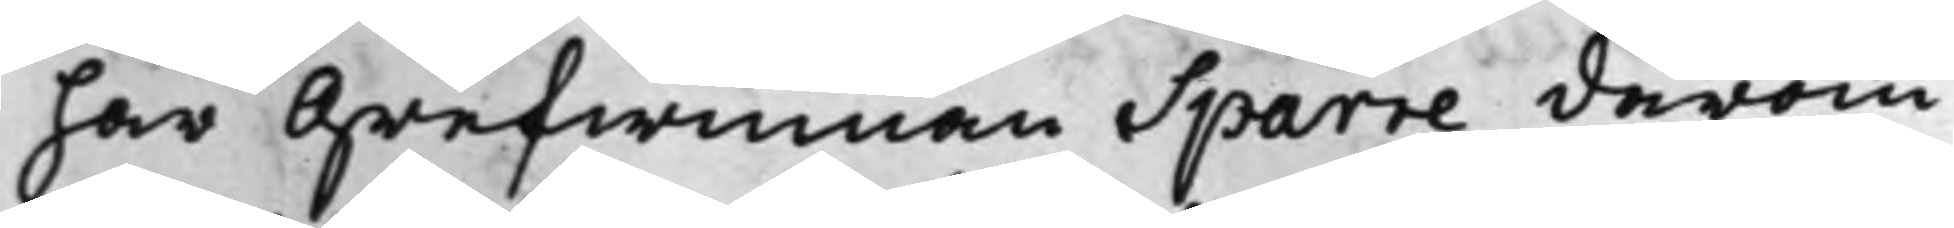har Grefwinnan Sparre därom
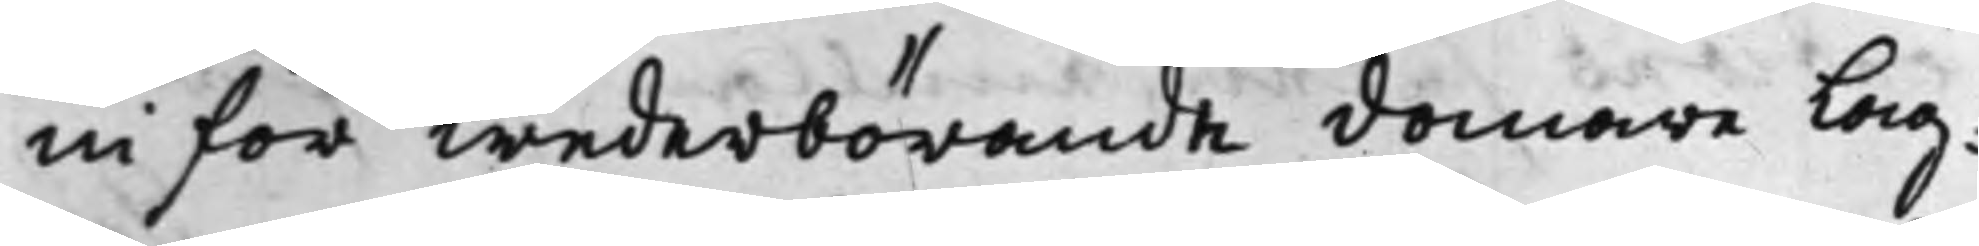inför wederbörande domare lag¬
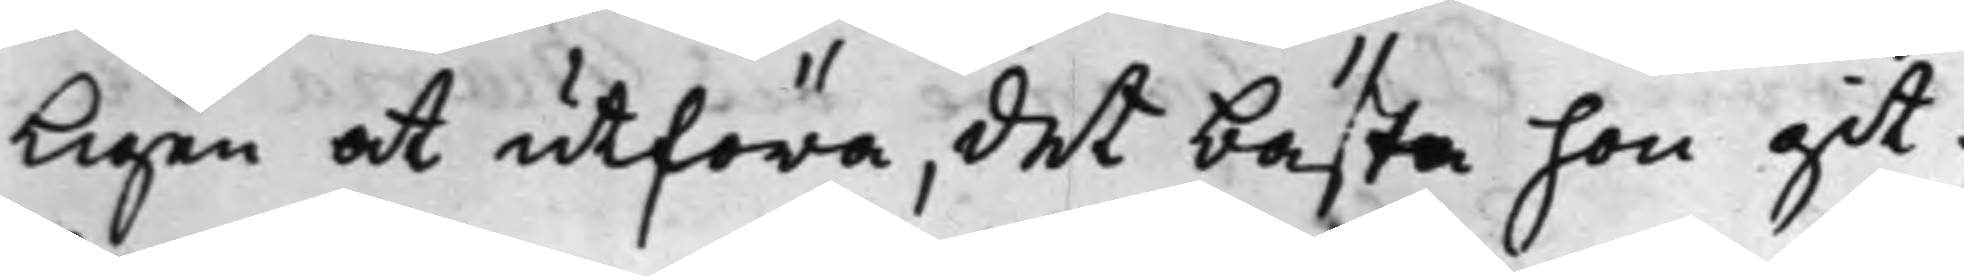ligen at utföra, det bästa hon git¬
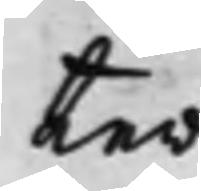ter.
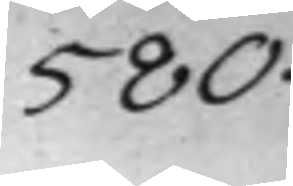580.
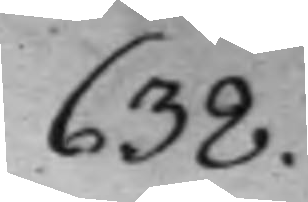638.
